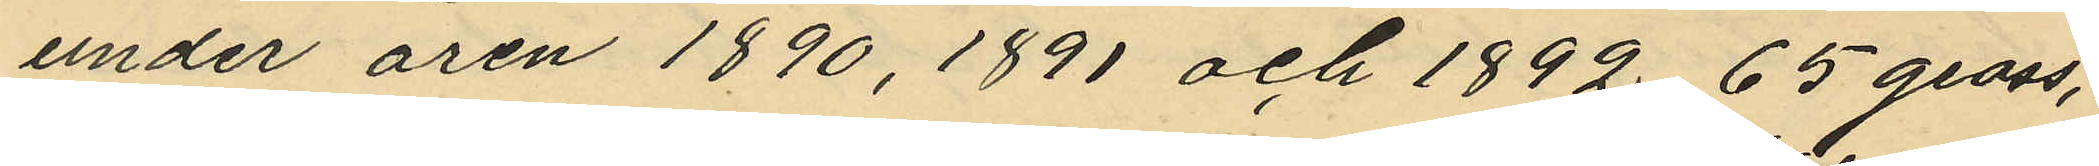under åren 1890, 1891 och 1892, 65 gross,
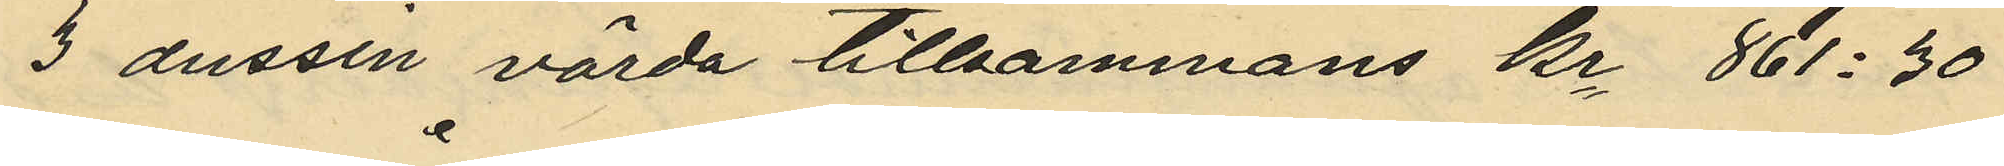3 dussin värda tillsammans Kr 861:30
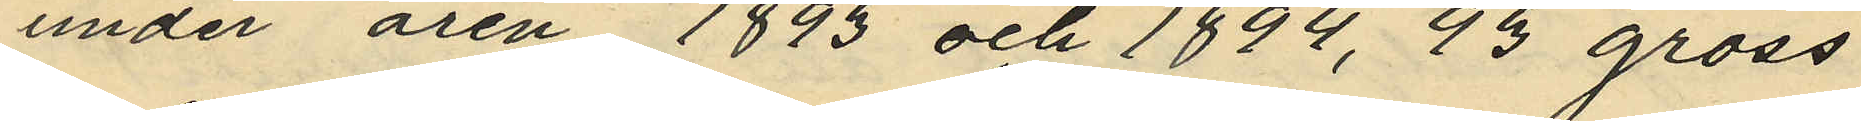under åren 1893 och 1894, 93 gross
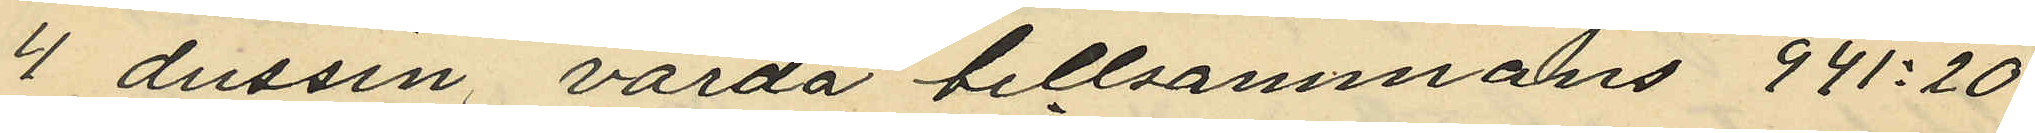4 dussin, värda tillsammans 941:20
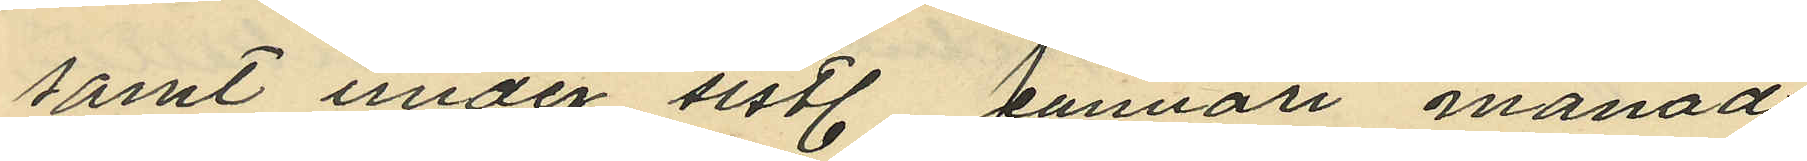samt under sistl. Januari månad
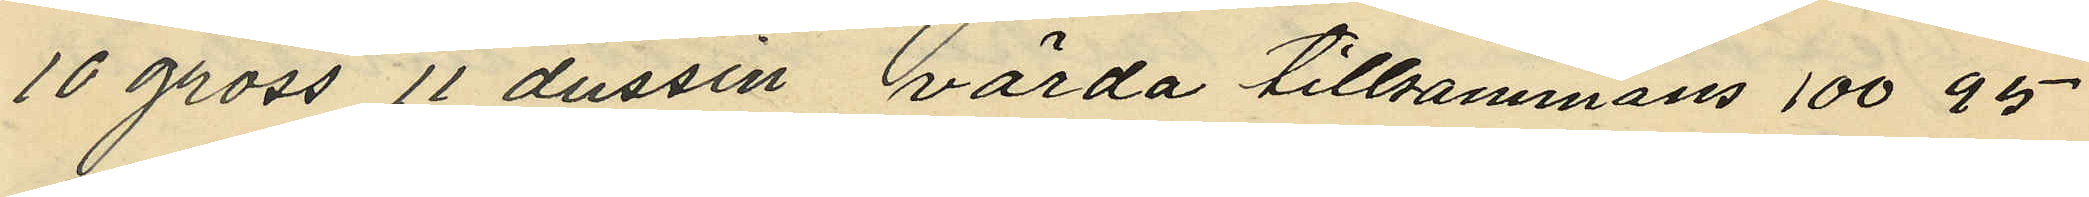10 gross 11 dussin, värda tillsammans 100 95
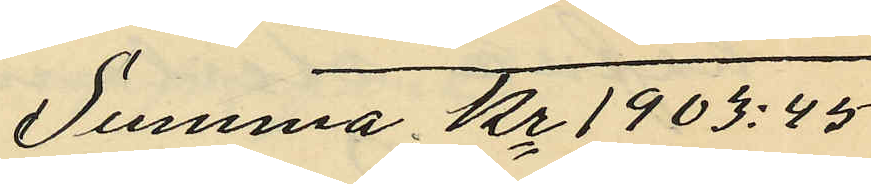Summa Kr. 1903: 45
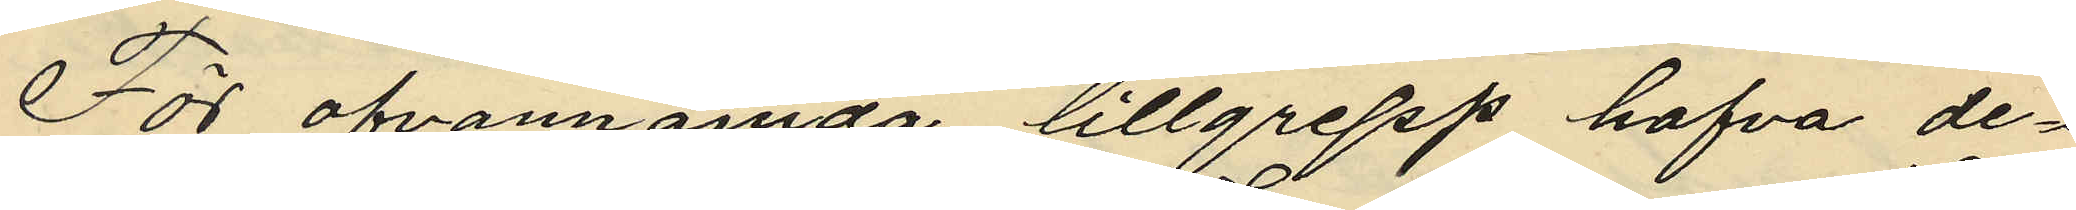För ofvannämda tillgrepp hafva de¬
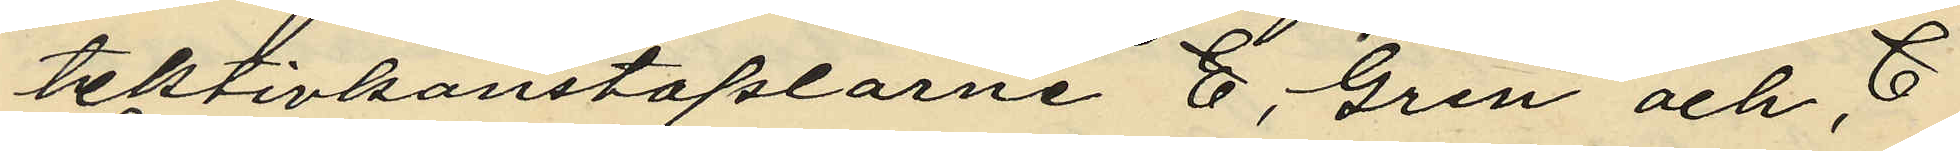tektivkonstaplarne E. Gren och C
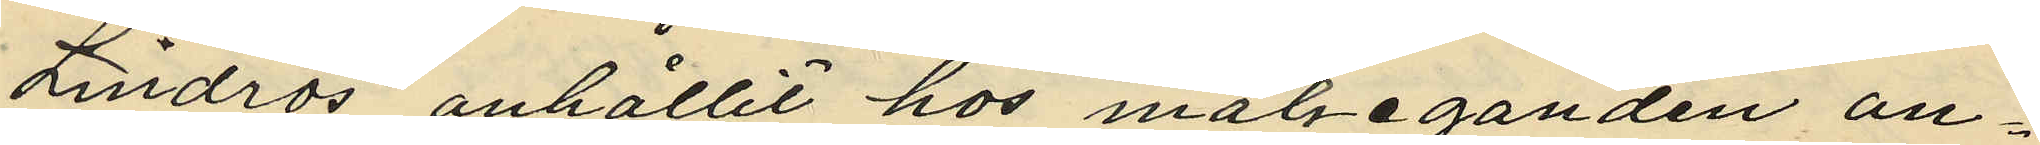Lindros anhållit hos målseganden an¬
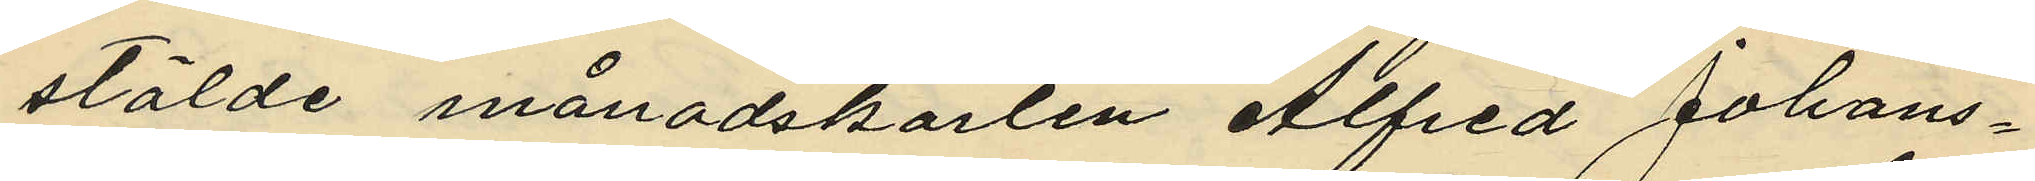stälde månadskarlen Alfred Johans¬
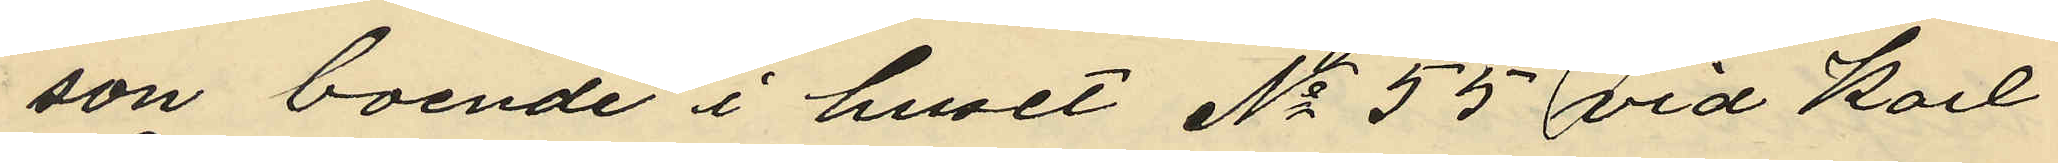son boende i huset No 55 vid Karl
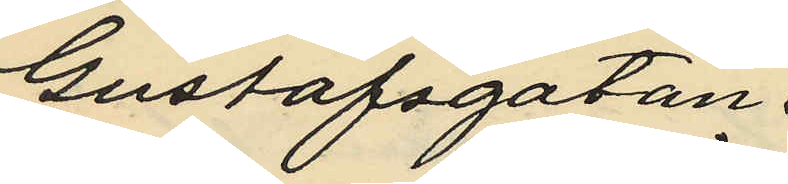Gustafsgatan.
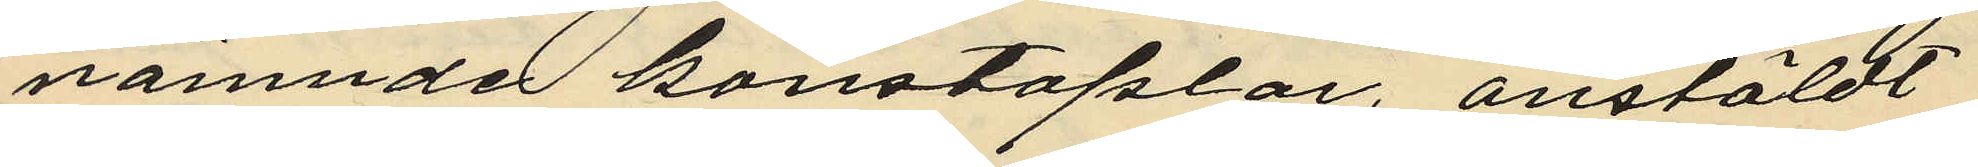nämnde konstaplar, anstäldt
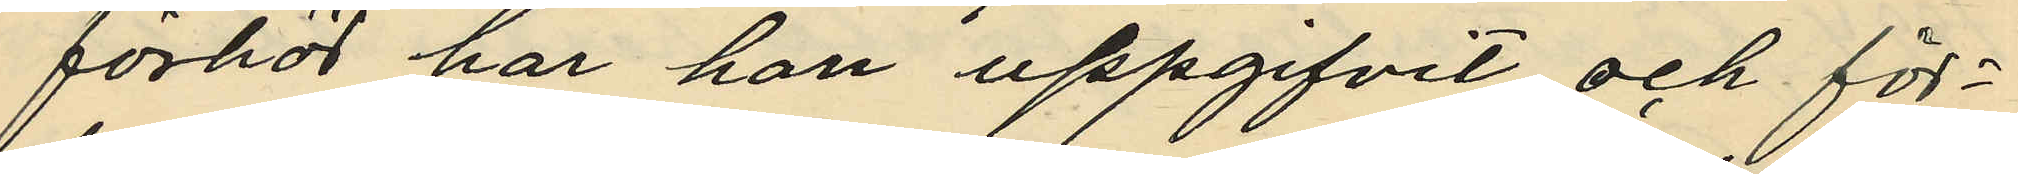förhör har han uppgifvit och för¬
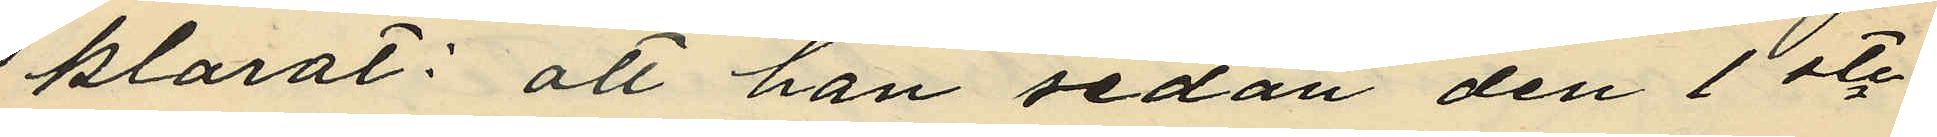klarat: att han sedan den 1ste
